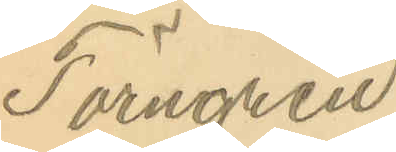Törngren.
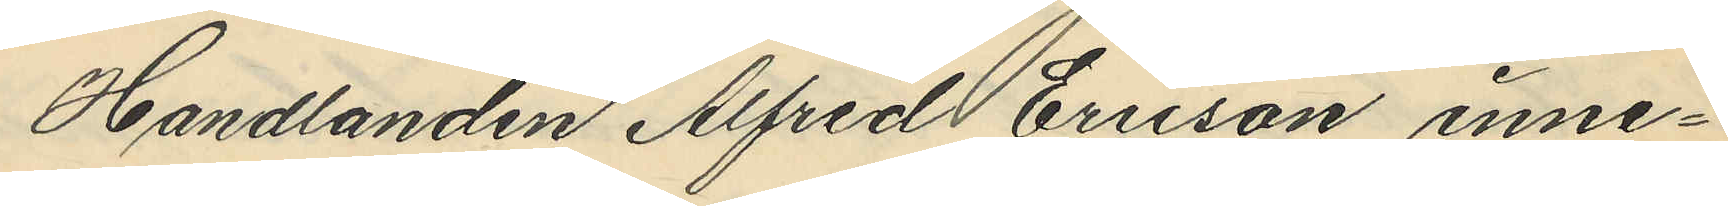Handlanden Alfred Ericson inne¬
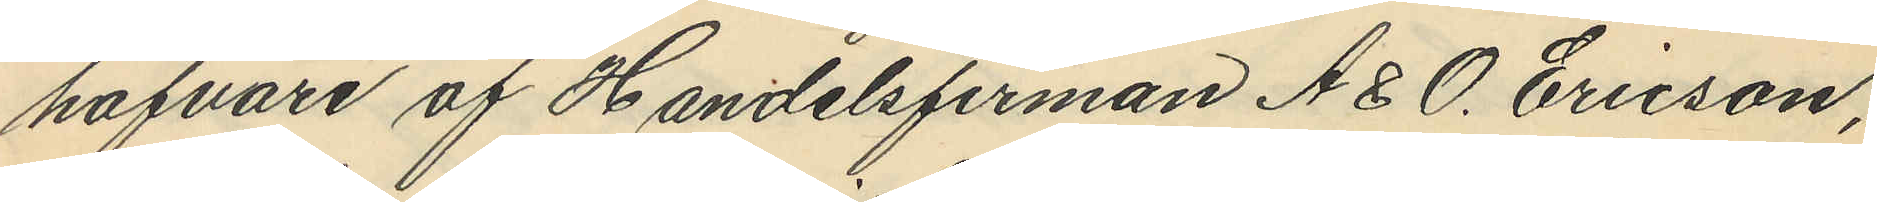hafvare af Handelsfirman A. & O. Ericson,
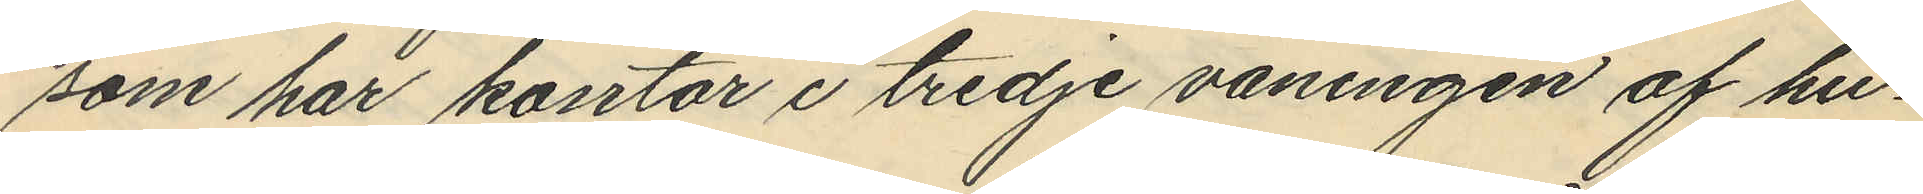som har kontor i tredje våningen af hu¬
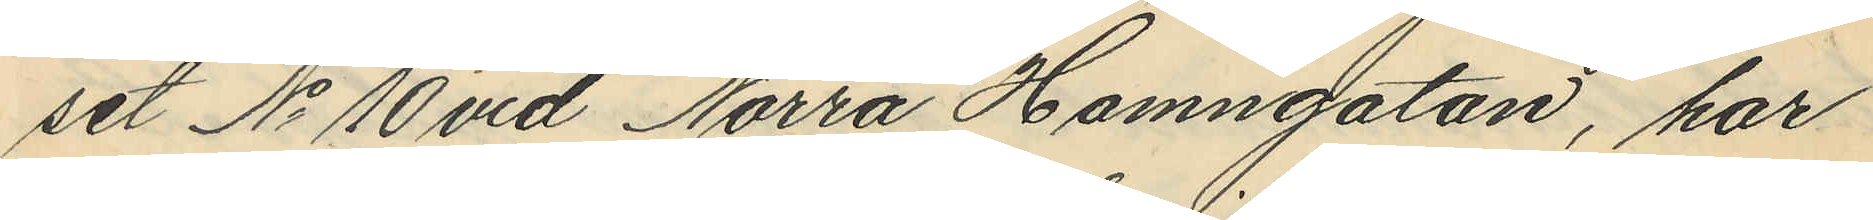set No 10 vid Norra Hamngatan, har
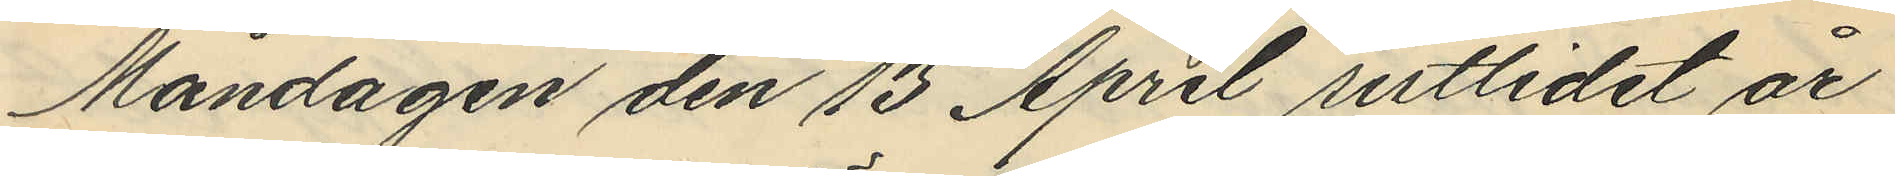Måndagen den 13 April sistlidet år
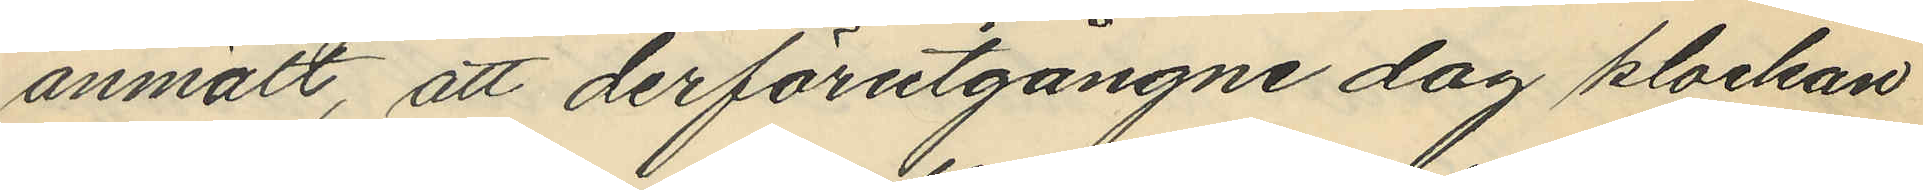anmält, att derförutgångne dag klockan
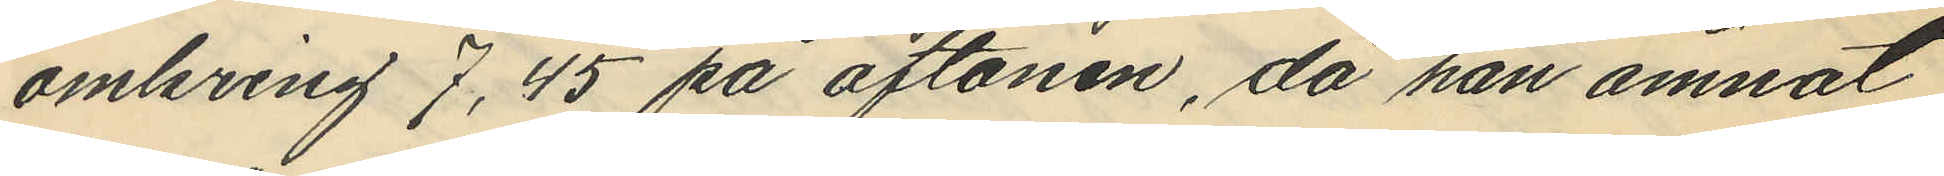omkring 7,45 på aftonen, då han ämnat
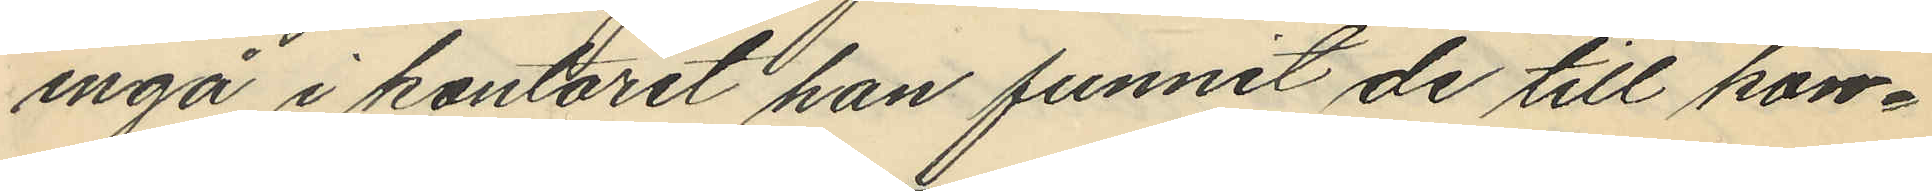ingå i kontoret han funnit de till kon¬
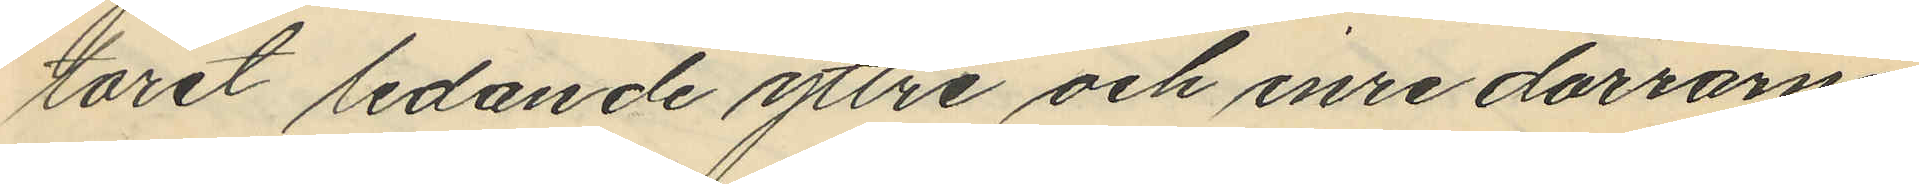toret ledande yttre och inre dörrarne
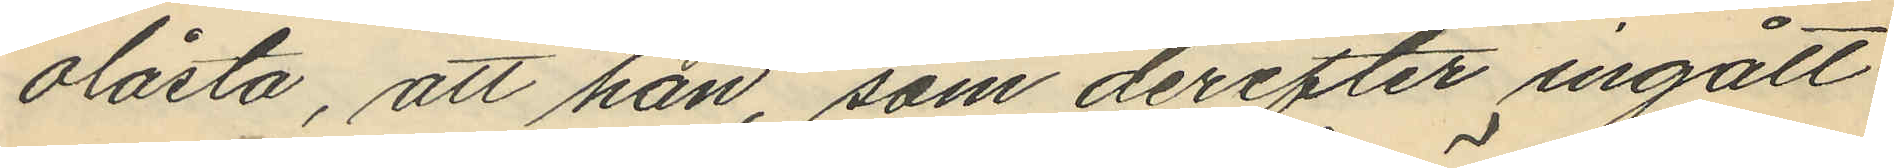olåsta, att han, som derefter ingått
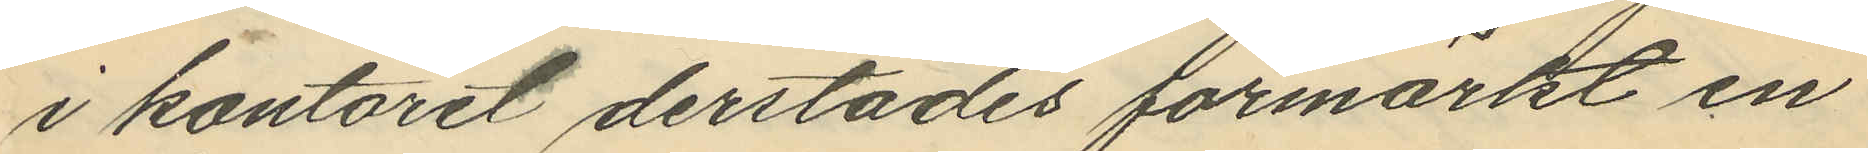i kontoret derstädes förmärkt en
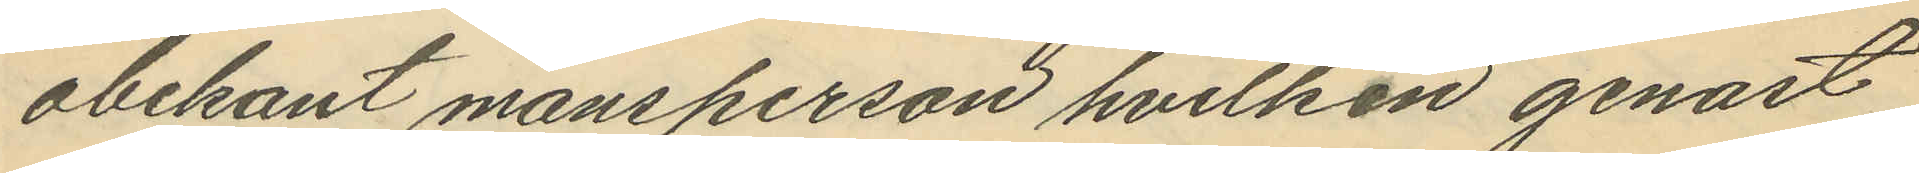obekant mansperson hvilken genast
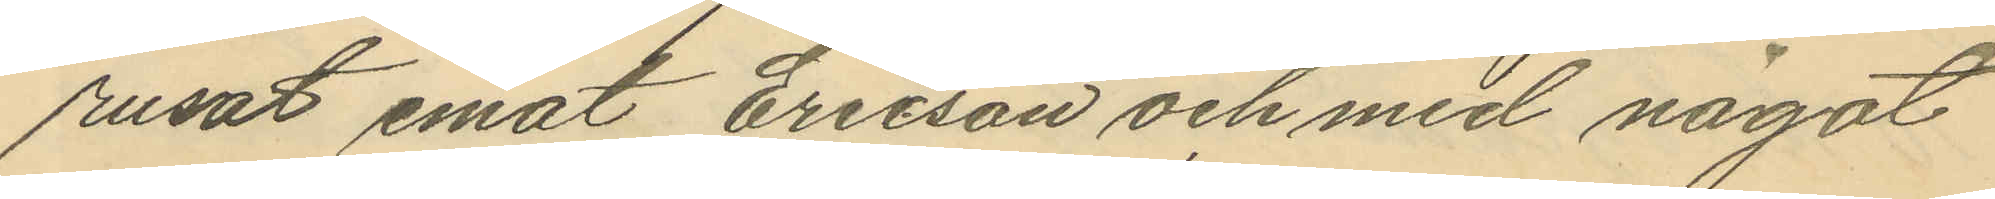rusat emot Ericson och med något
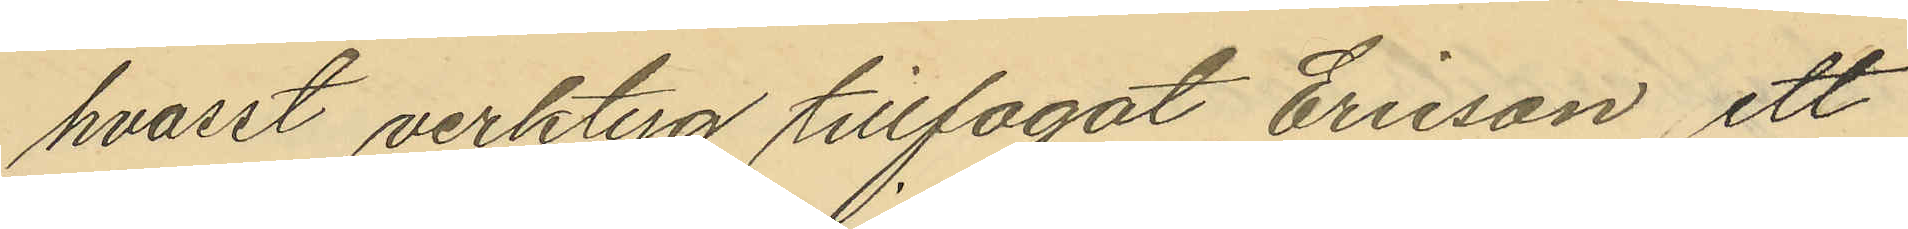hvasst verktyg tillfogat Erison, ett
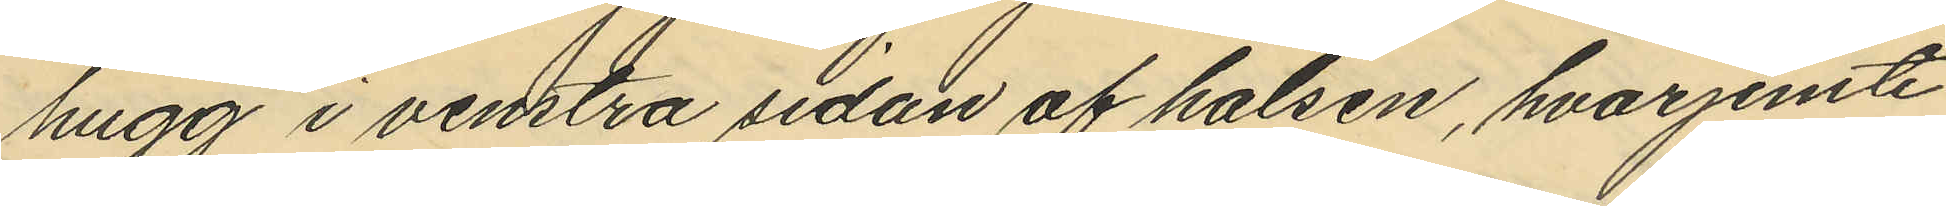hugg i venstra sidan af halsen, hvarjemte
